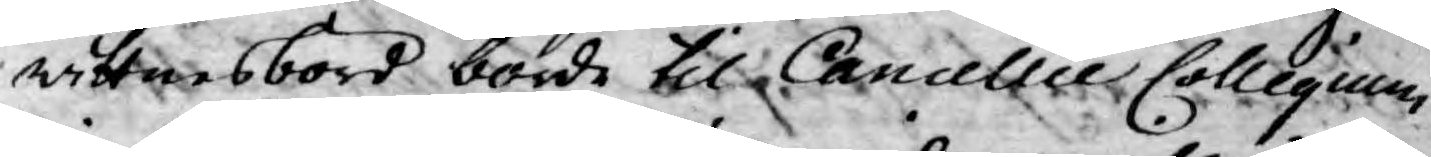wittnesbörd borde til Cancellie Collegium
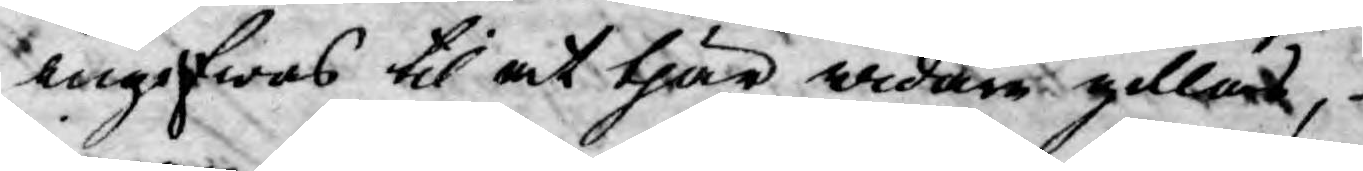ingifwas til at thär widare gillas,
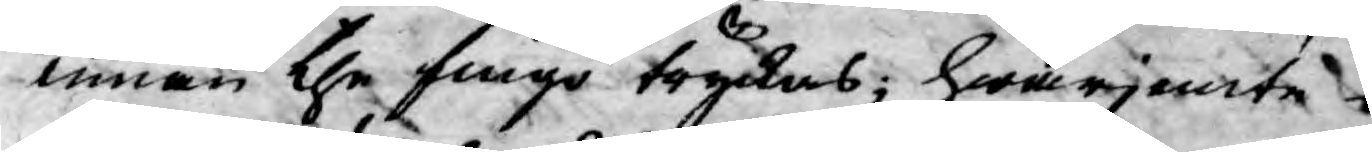innan the fingo tryckas, hwarjemte
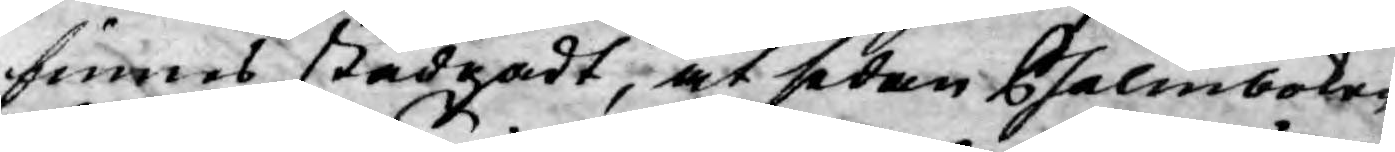finnes stadgadt, at sedan Psalmboken
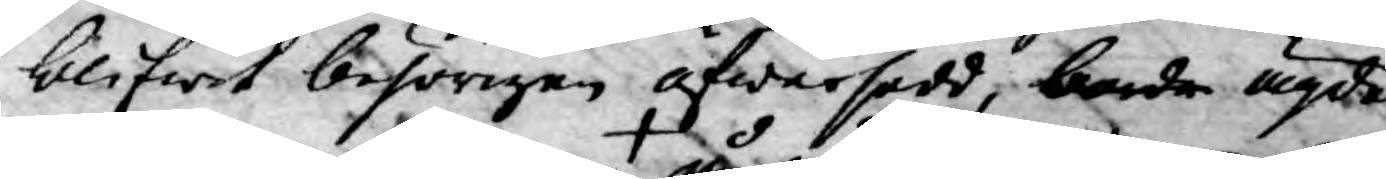blifwit beförigen öfwersedd, borde ägde
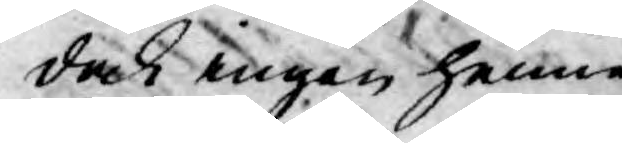dock ingen henne
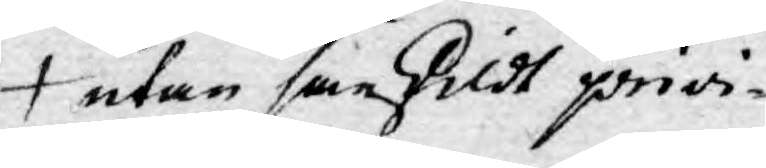utan särskildt privi¬
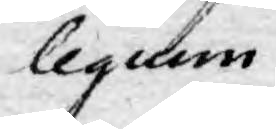legium
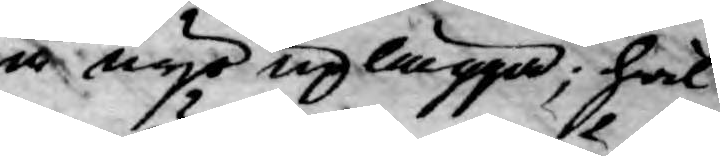å nyo uplägga; hwil¬
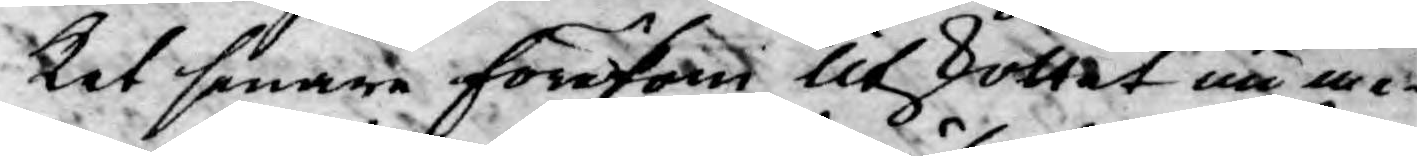ket senare förekom Utskottet nu me¬
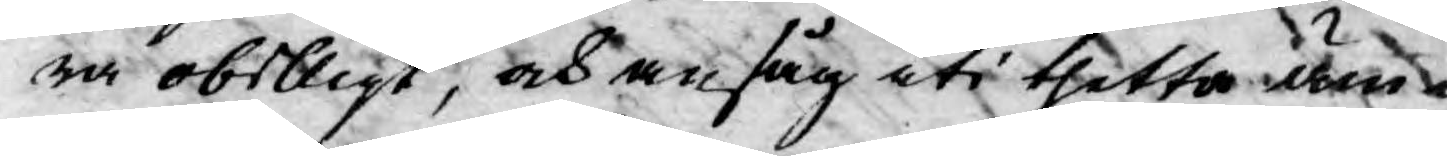ra obilligt, och ansåg uti thetta äm¬
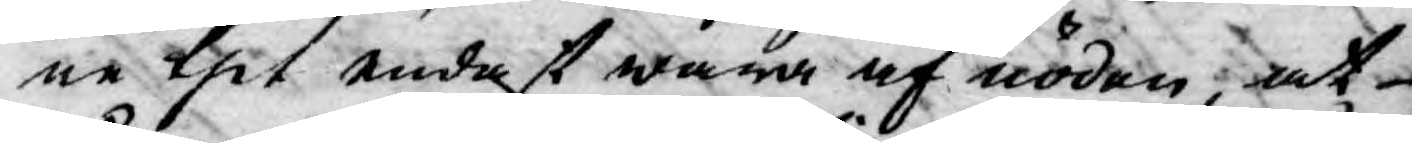ne thet endast wara af nöden, at
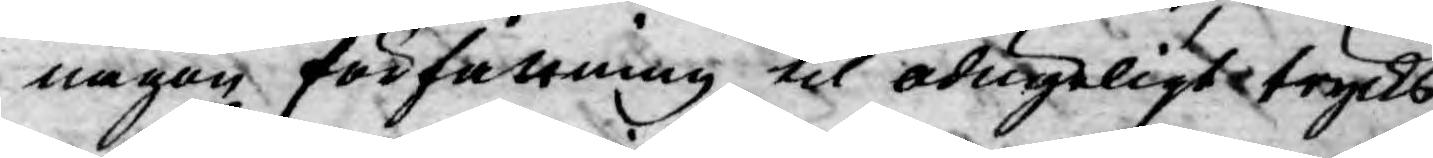någon författning til odugeligt trycks
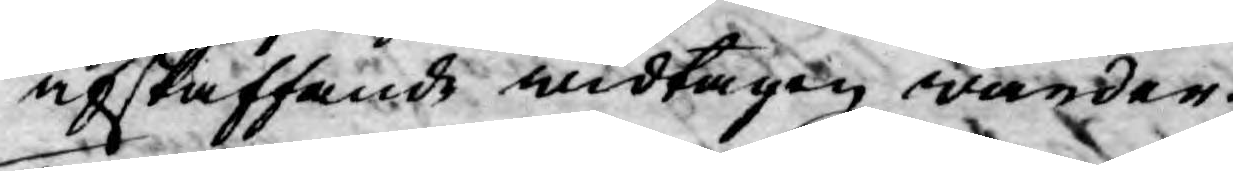afskaffande widtagen warder.
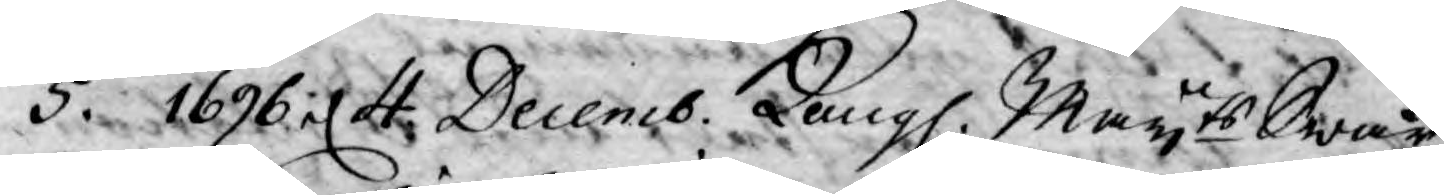5. 1696  d. 4 Decemb. Kongl. Mayts Swar
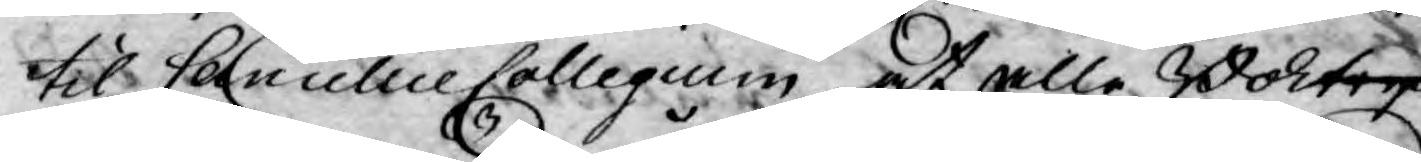til Cancellie Collegium at alle Boktryk¬
